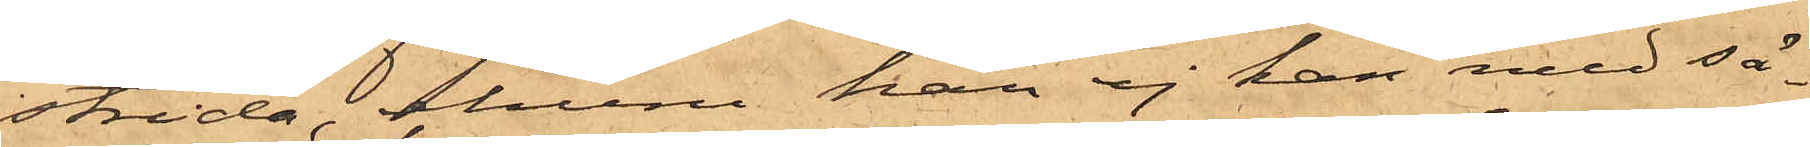strida, ehuru han ej kan med sä¬
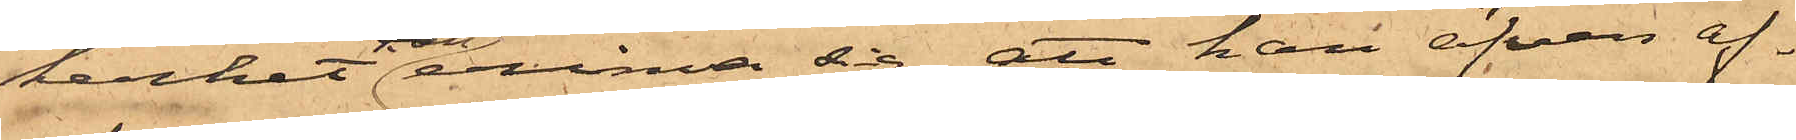kerhet erinra sig att han äfven af¬
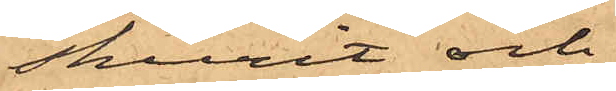skurit och
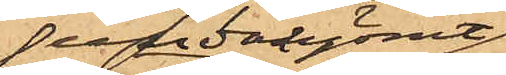undangömt
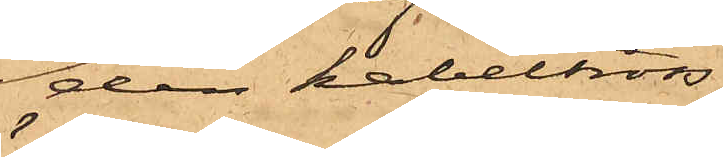den kabeltross,
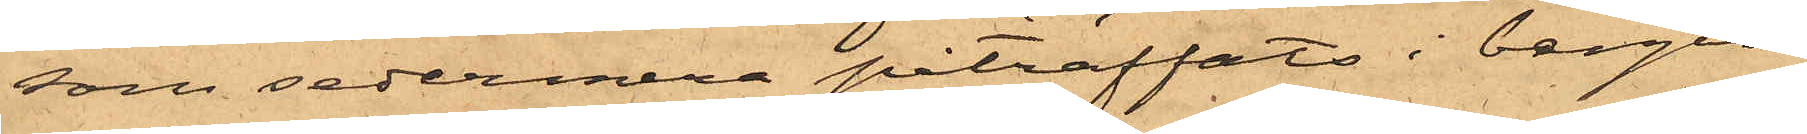som sedermera påträffats i bergen
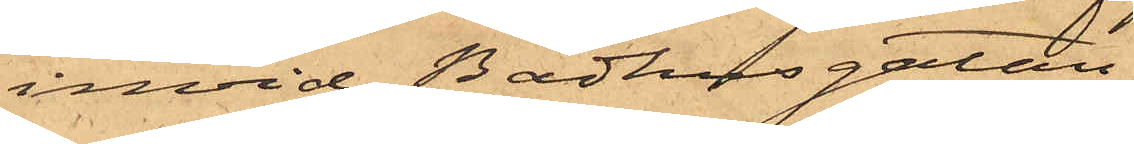invid Badhusgatan.
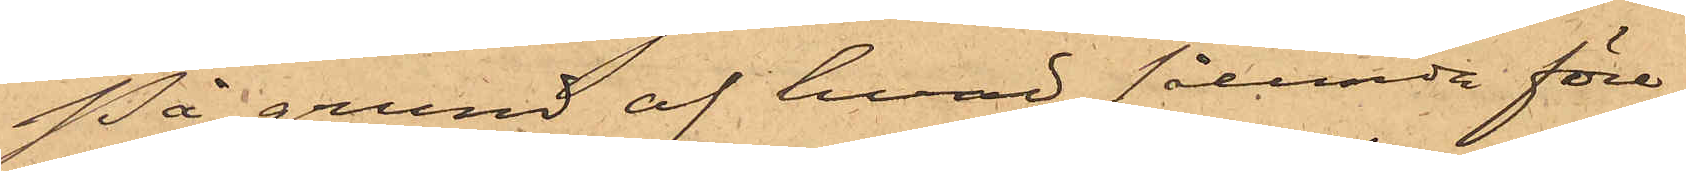På grund af hvad sålunda före¬
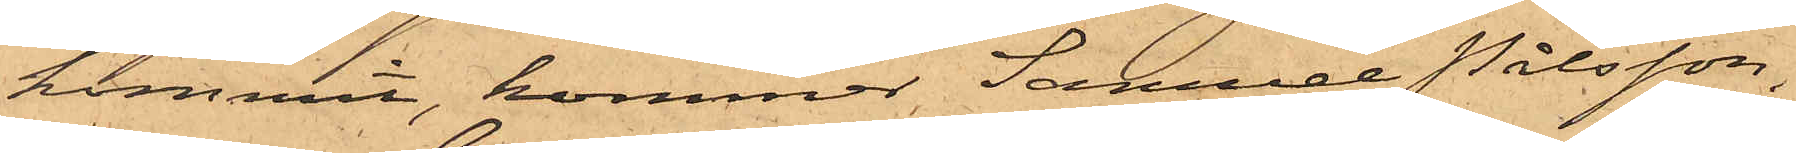kommit, kommer Samuel Pålsson,
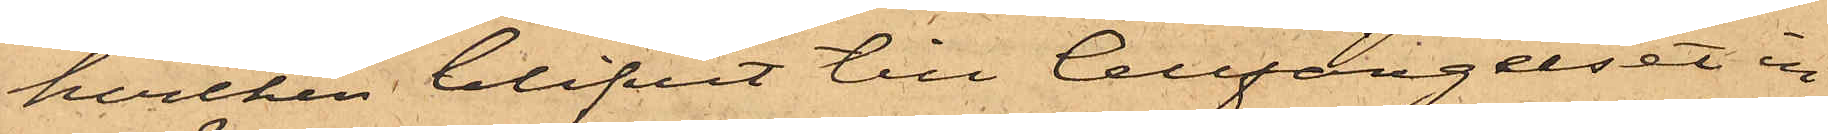hvilken blifvit till Cellfängelset in¬
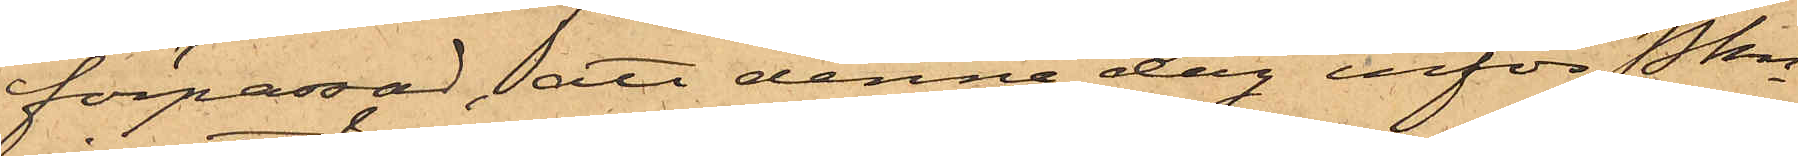förpassad, att denna dag inför Pkn
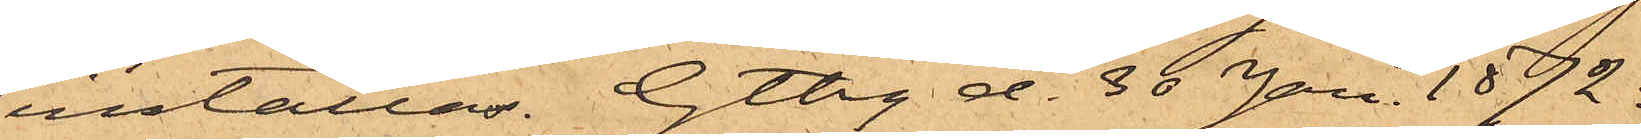inställas. Gtbg d. 30 Jan. 1872.
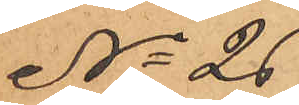No 26
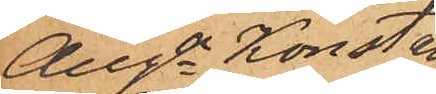Auga Konstan¬
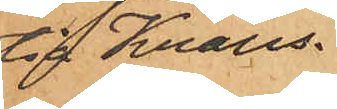tia Krans.
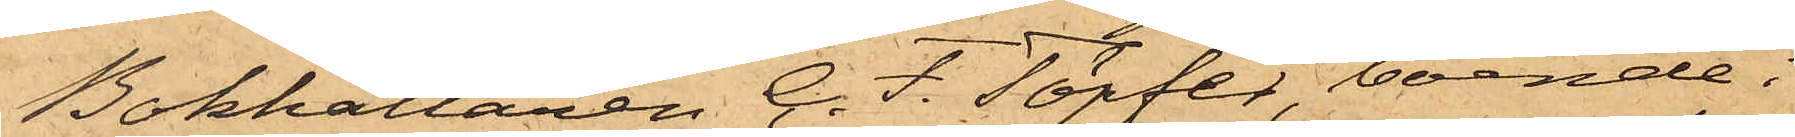Bokhållaren C. F. Töpfer, boende i
